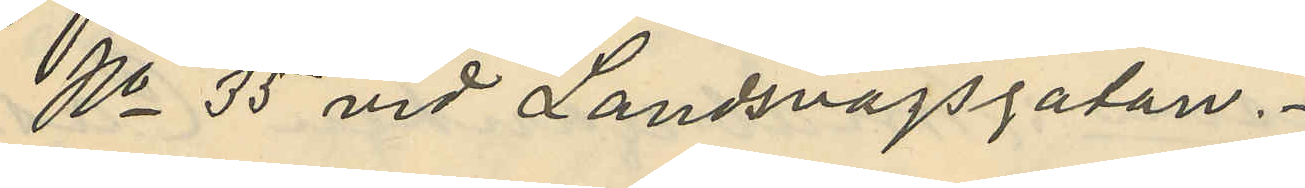No 35 vid Landsvägsgatan.
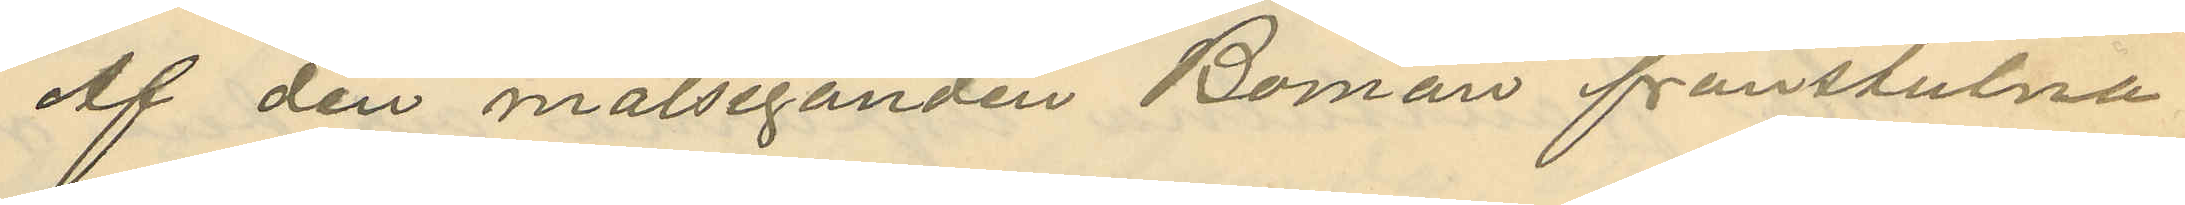Af den målseganden Boman frånstulna
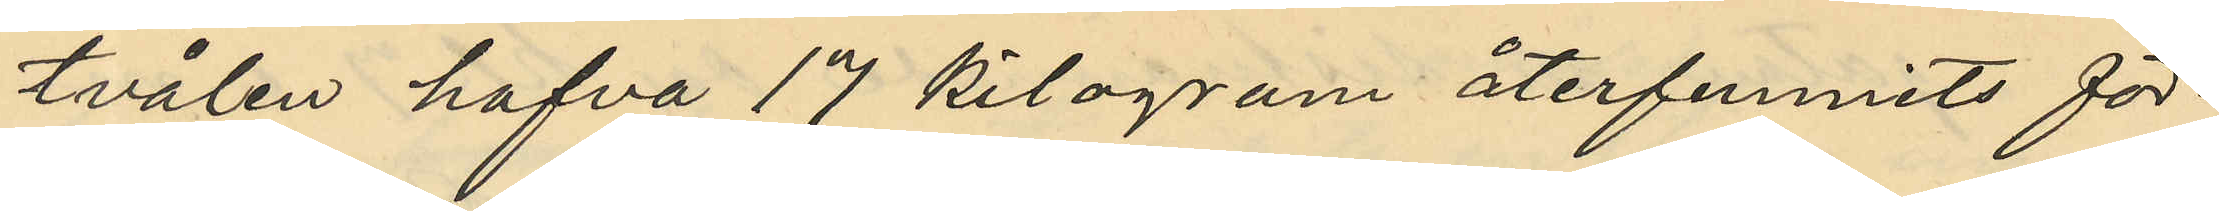tvålen hafva 17 kilogram återfunnits för¬
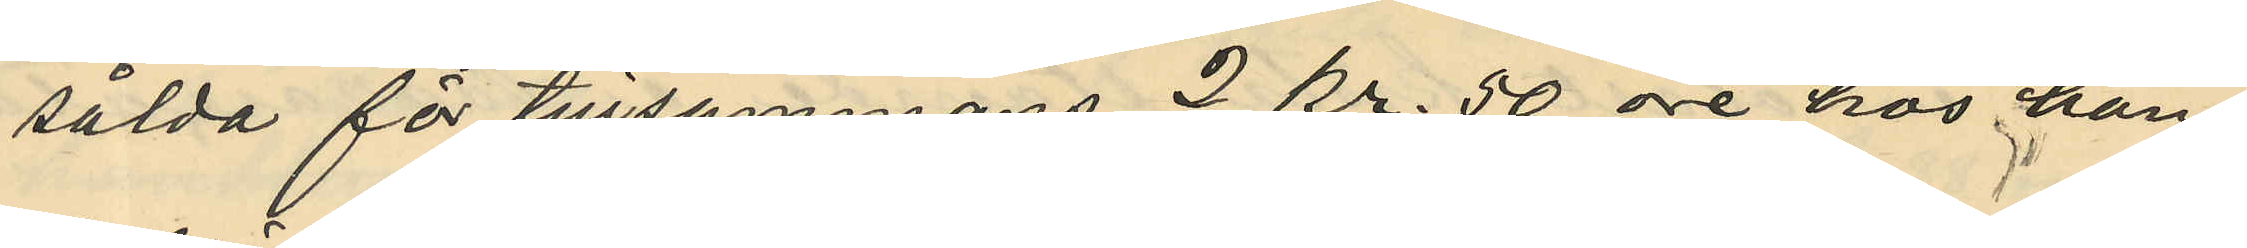sålda för tillsammans 2 kr. 50 öre hos han¬
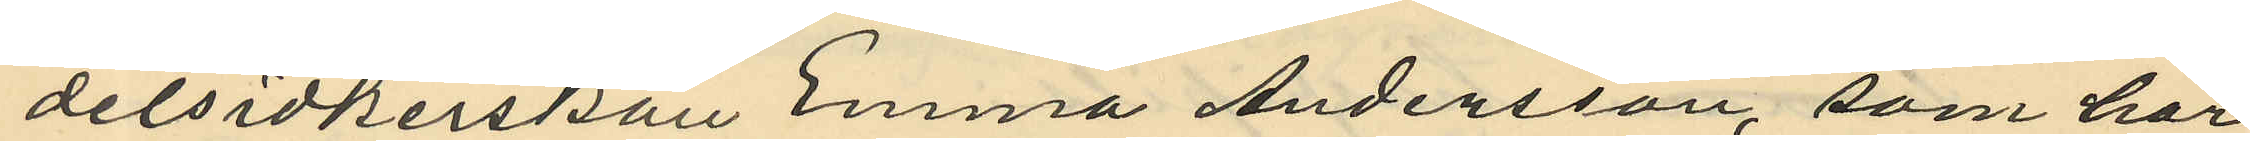delsidkerskan Emma Andersson, som har
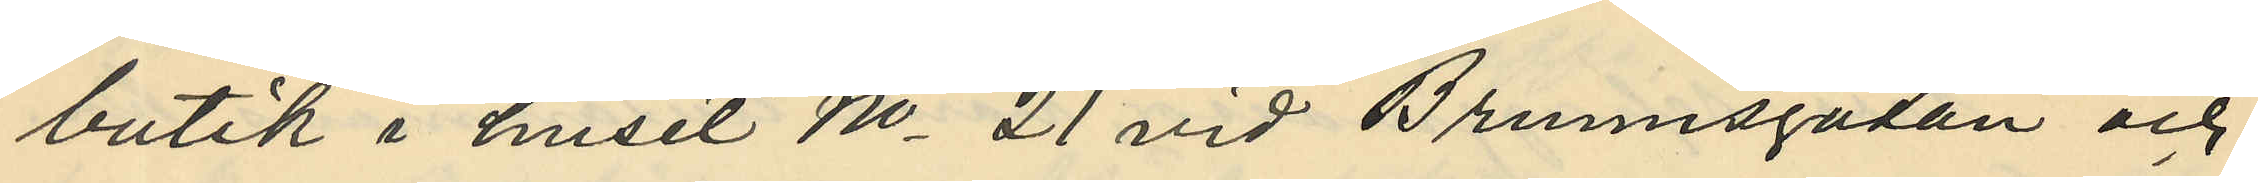butik i huset No 21 vid Brunnsgatan och
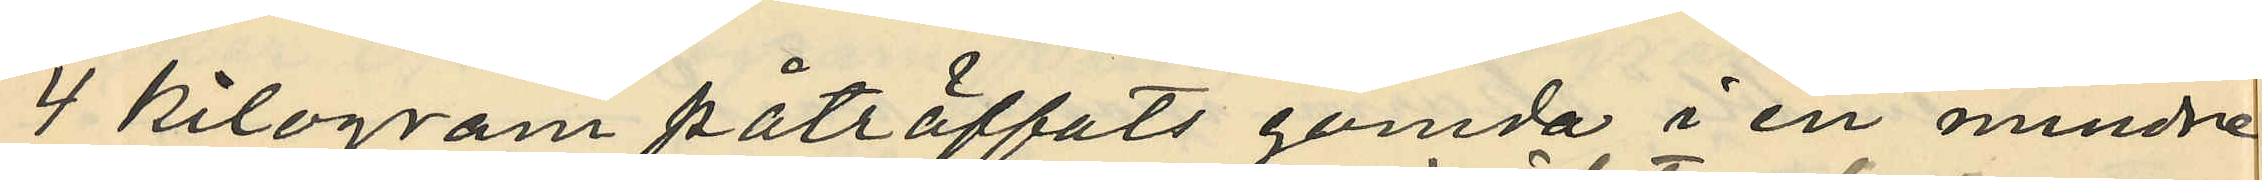4 kilogram påträffats gömda i en mindre
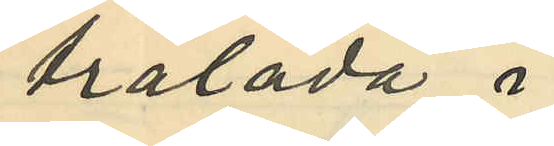trälåda i
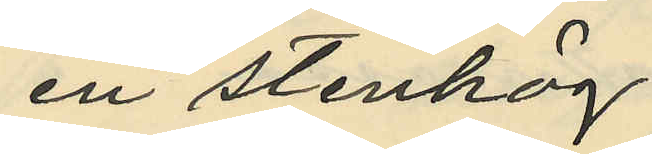en stenhög
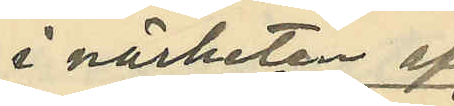i närheten af
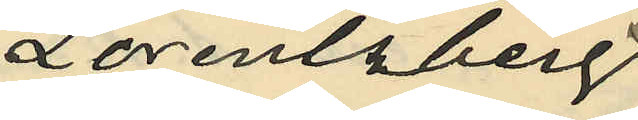Lorensberg.
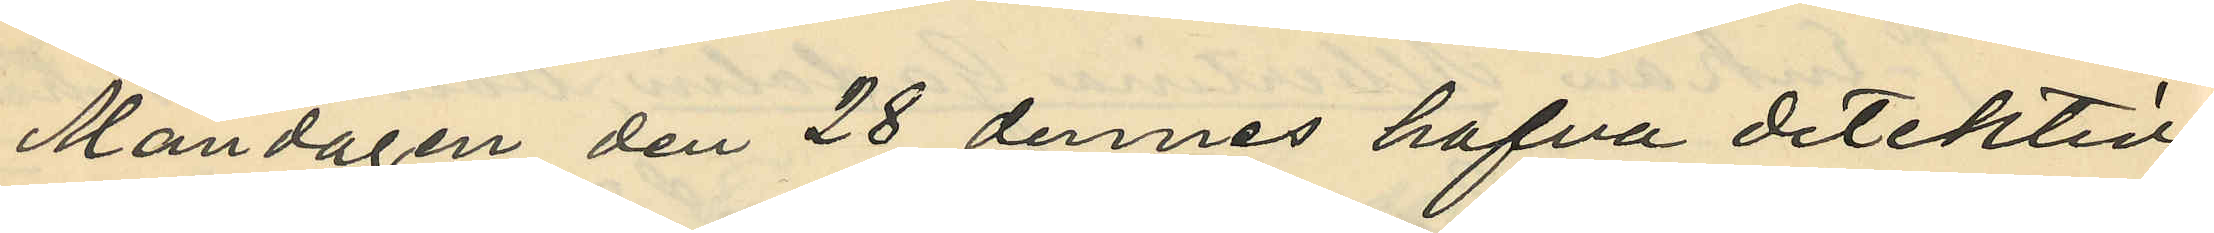Måndagen den 28 dennes hafva detektiv¬
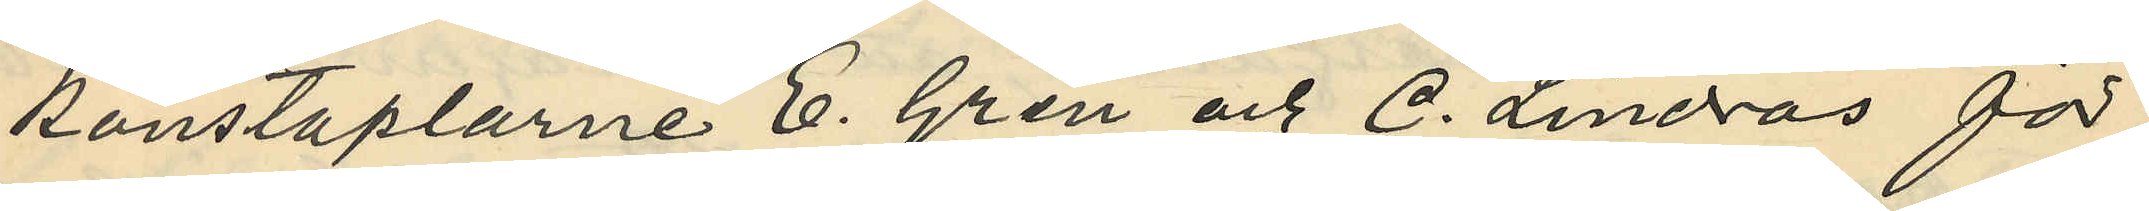konstaplarne E. Gren och C. Lindros för
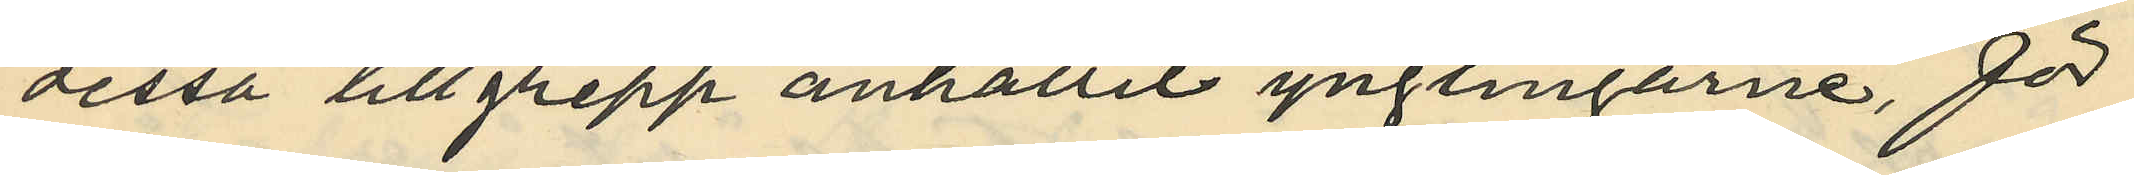dessa tillgrepp anhållit ynglingarne, för
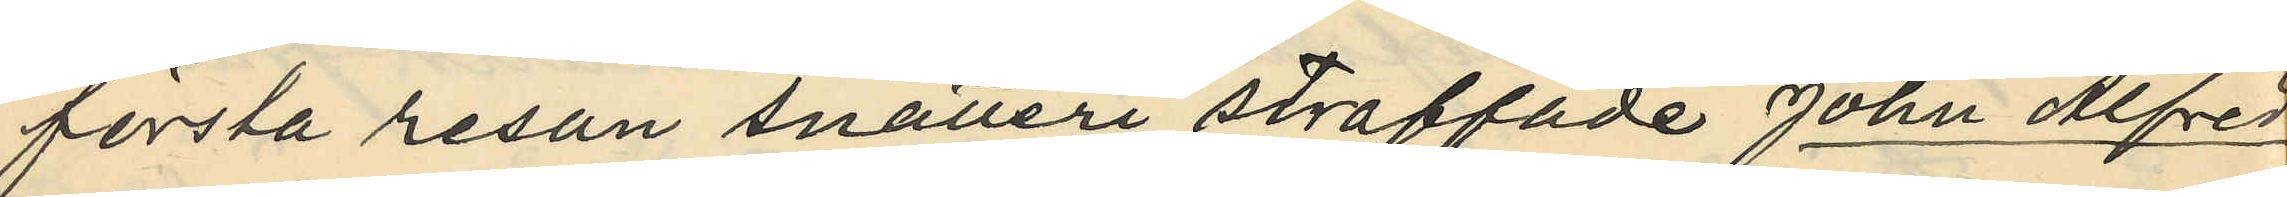första resan snatteri straffade John Alfred
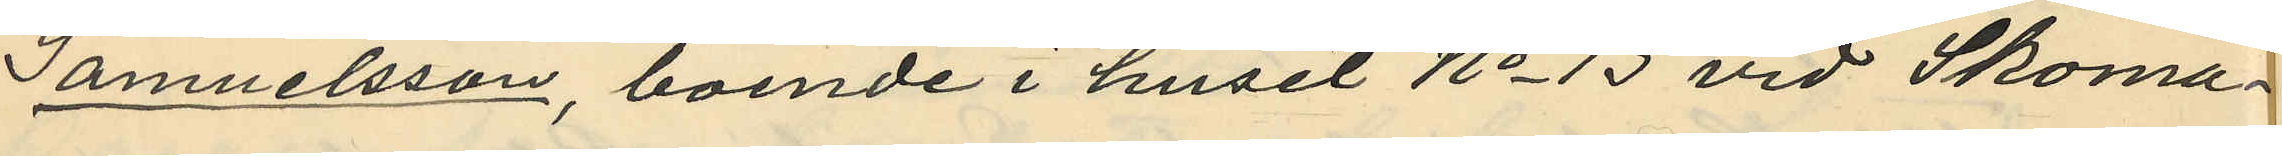Samuelsson, boende i huset No 13 vid Skoma¬
